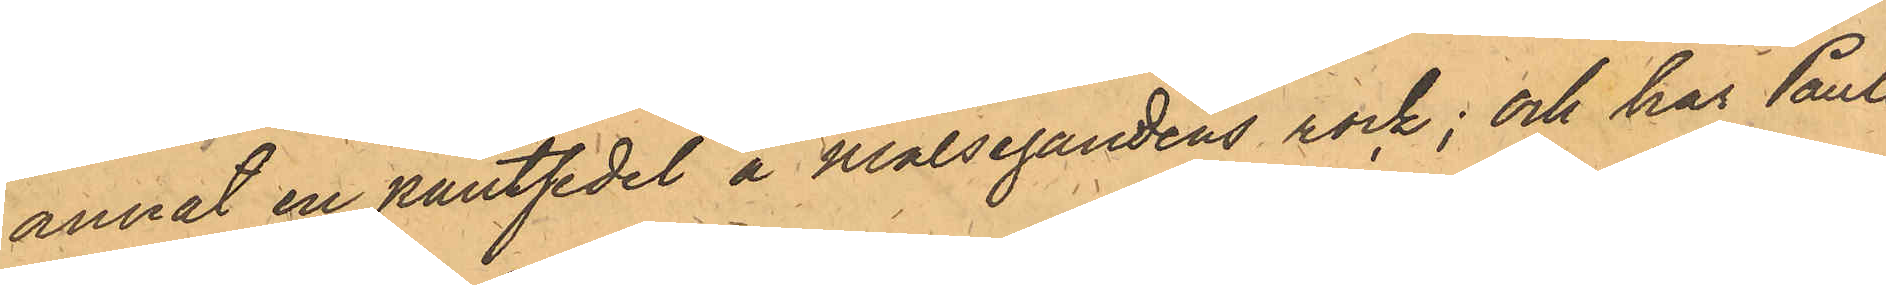annat en pantsedel å Målsegandens rock; och har Pauls¬
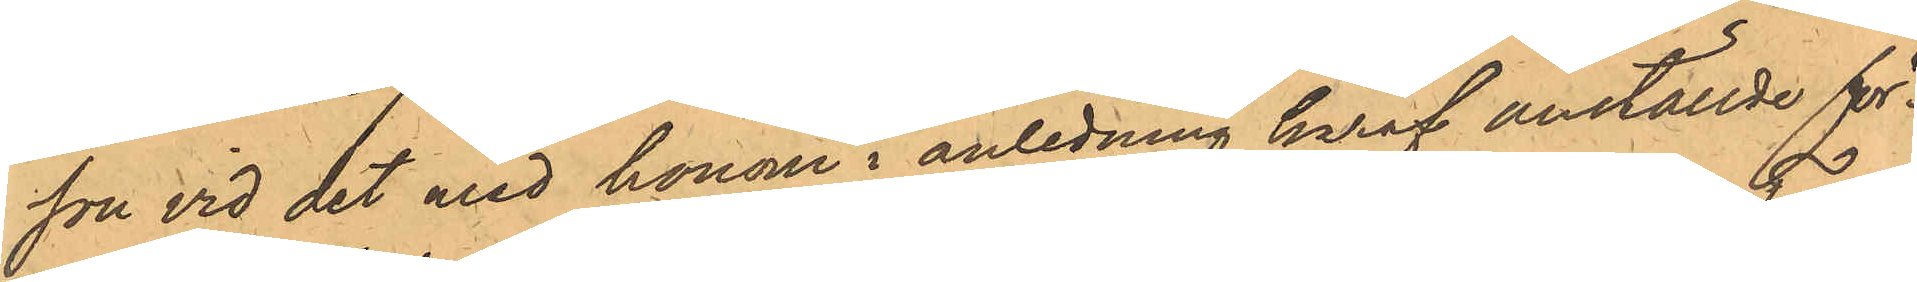son vid det med honom i anledning härat anställde för¬
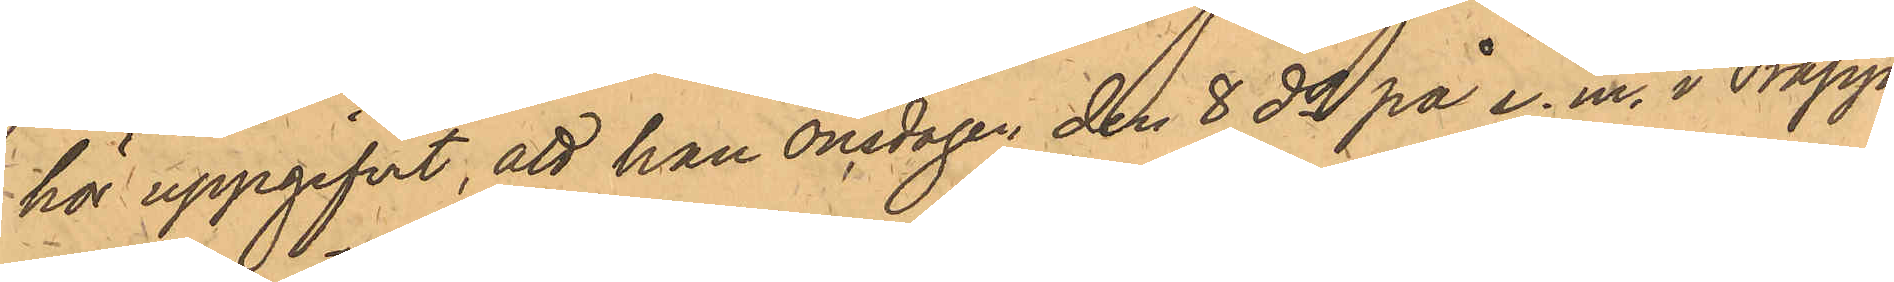hör uppgifvit, att han onsdagen den 8 ds på e.m. i Trapps
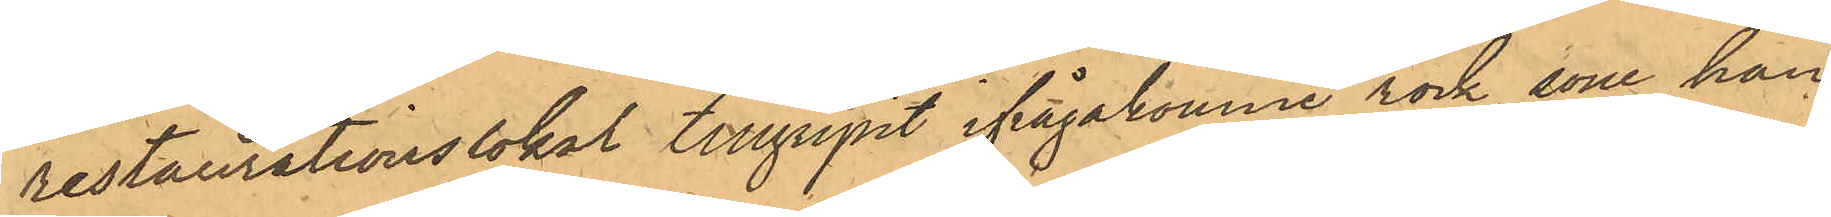restaurationslokal tillgripit ifrågakomne rock, som han
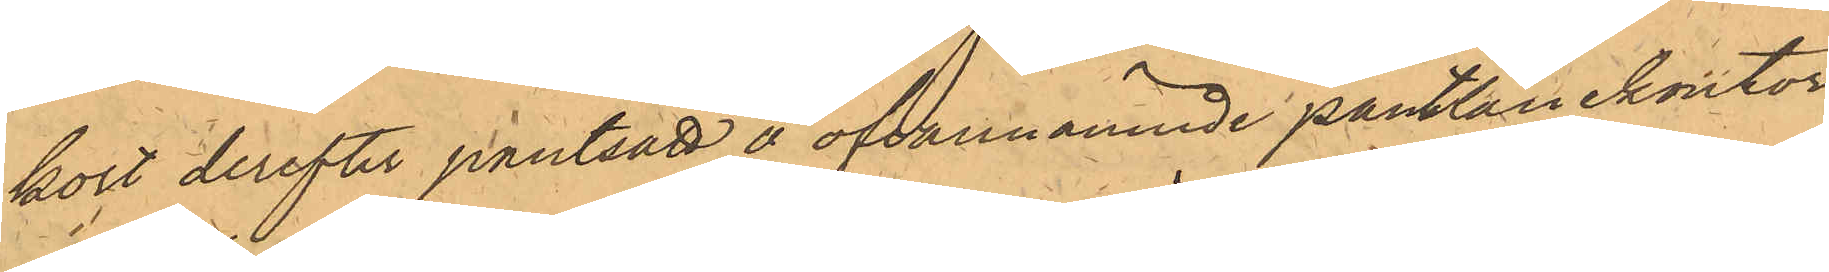kort derefter pantsatt å ofvannämnde pantlånekontor
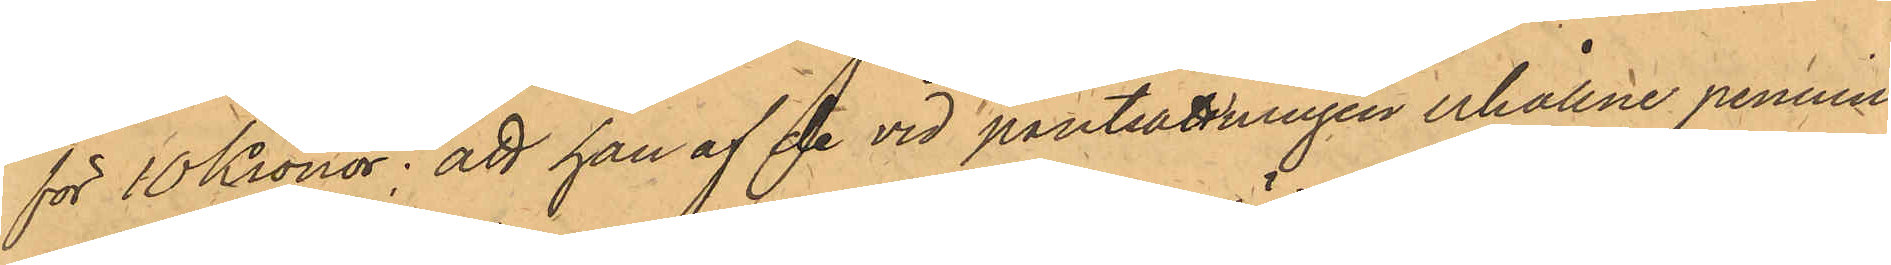för 10 Kronor; att han af de vid pantsättningen erhållne pennin¬
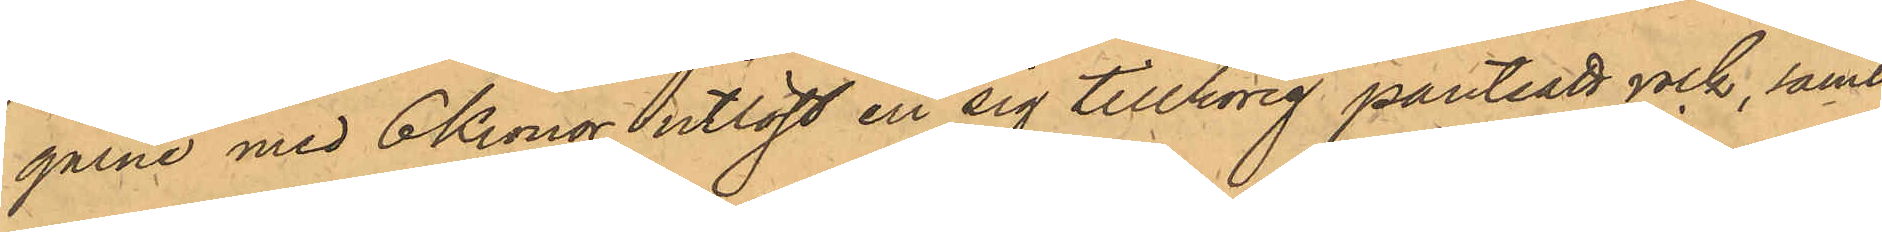garne med 6 Kronor utlöst en sig tillhörig pantsatt rock, samt
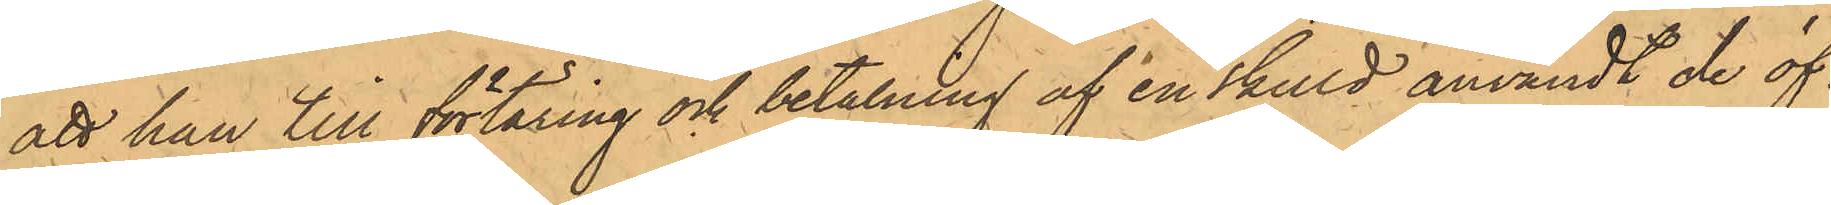att han till förtäring och betalning af en skuld användt de öf¬
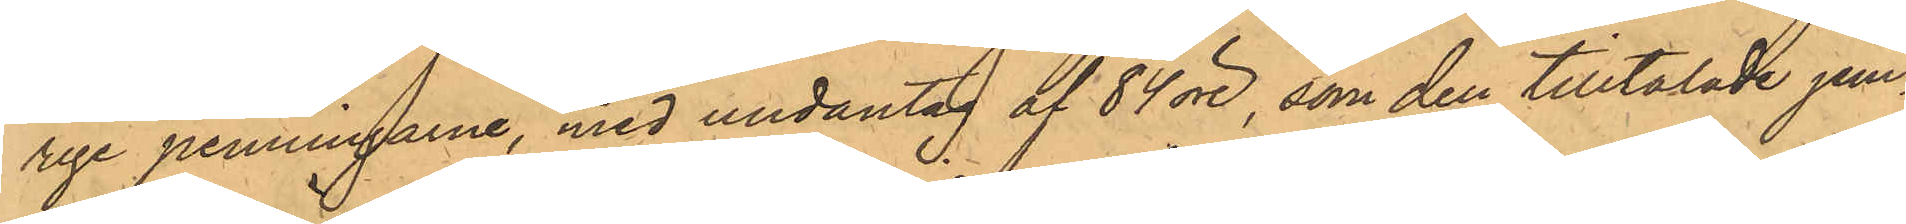rige penningarne, med undantag af 84 öre, som den tilltalade jem¬
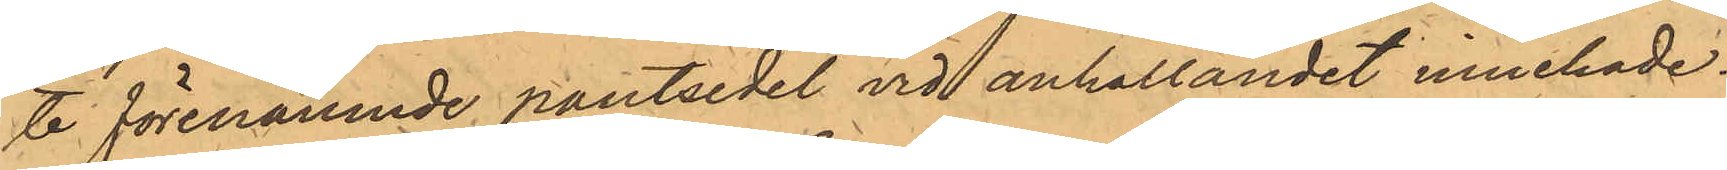te förenämnde pantsedel vid anhållandet innehade.
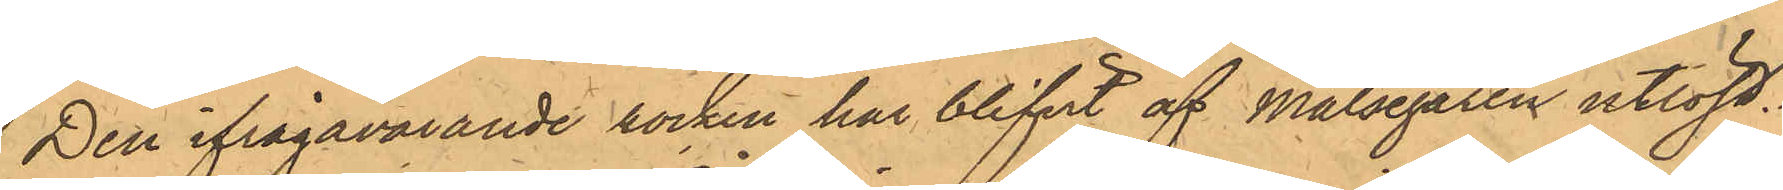Den ifrågavarande rocken har blifvit af Målsegaren utlöst.
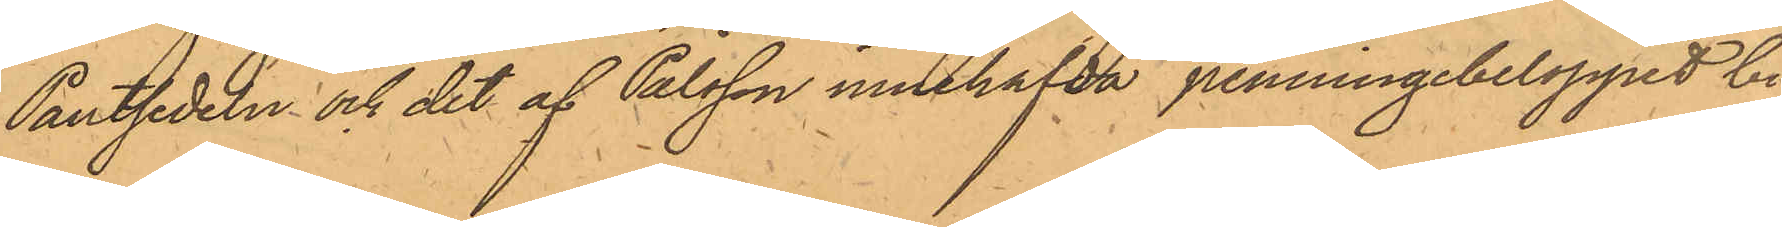Pantsedeln och det af Pålsson innehafda penningbeloppet bi¬
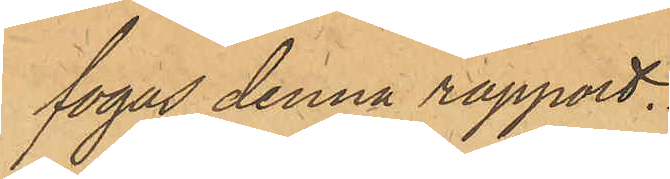fogas denna rapport.
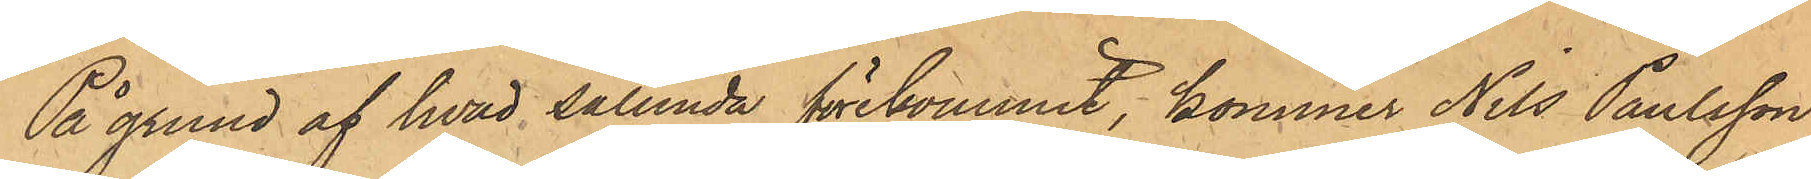På grund af hvad sålunda förekommit, kommer Nils Paulsson
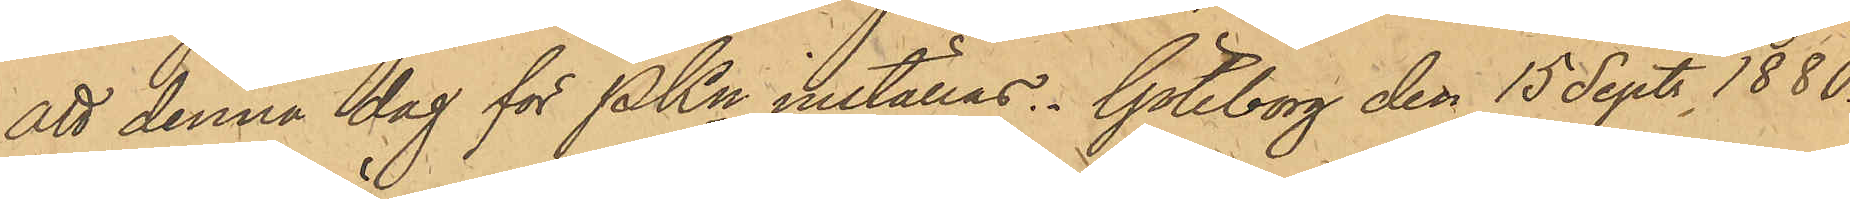att denna dag för PKn inställas. Göteborg den 15 Sept. 1880.
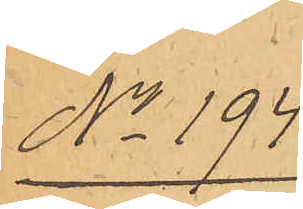No 194.
